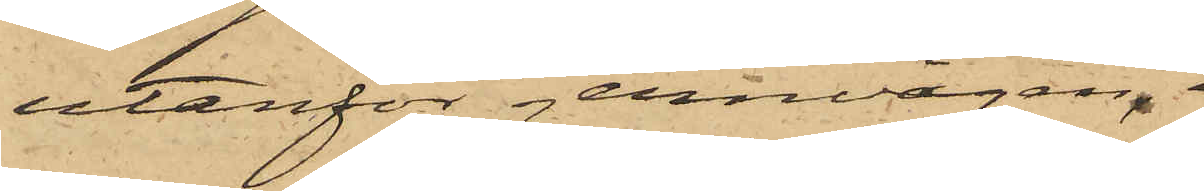utanför jernvågen.
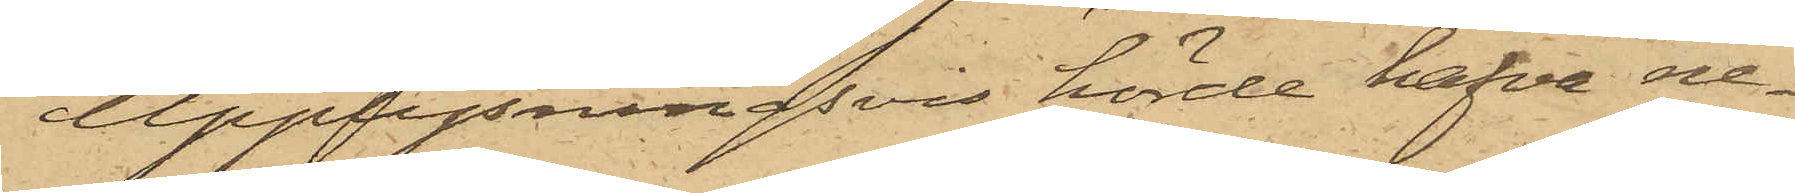Upplysningsvis hörde hafva ne¬
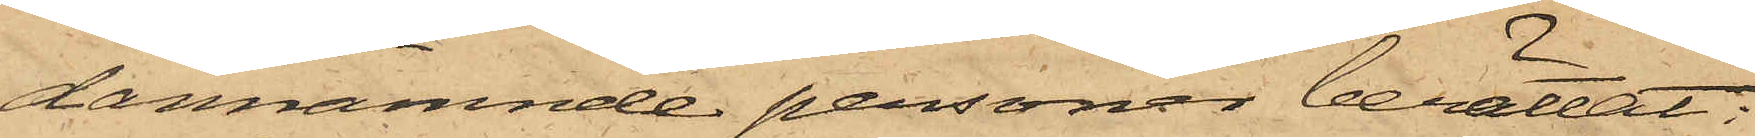dannämnde personer berättat:
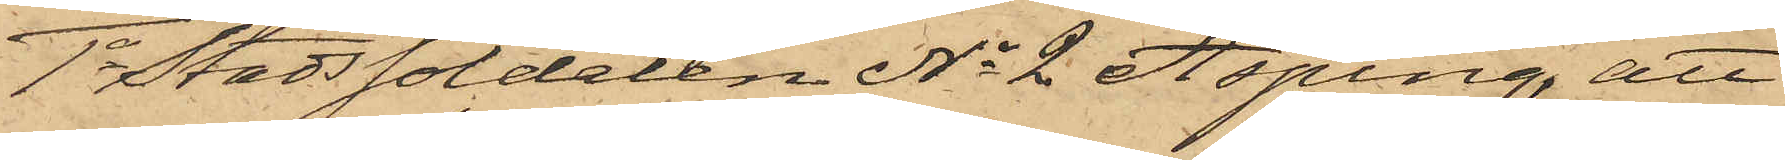1o Stadssoldaten No 2 Asping, att
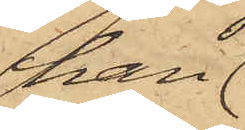han
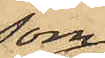som
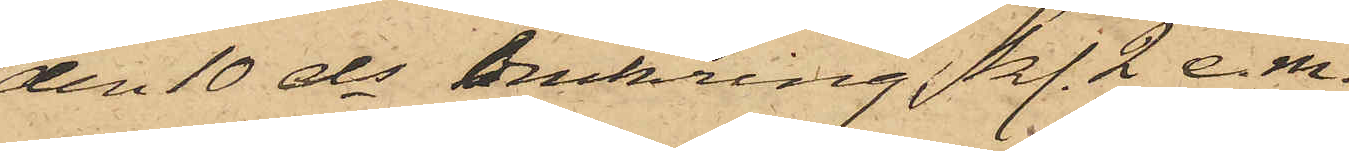den 10 ds omkring kl. 2 e. m.
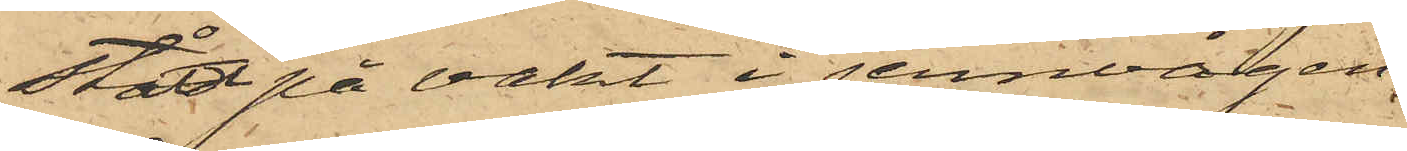stått på vakt i jernvågen,
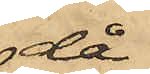då
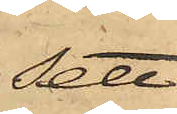sett
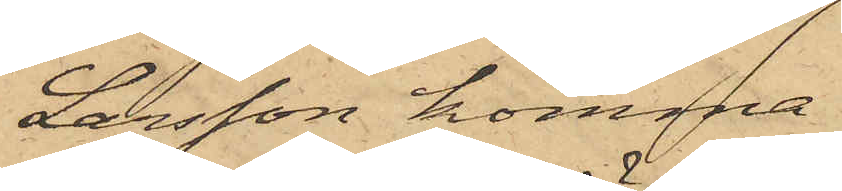Larsson komma
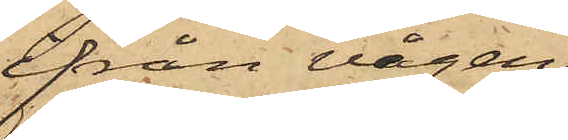från vågen
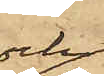och
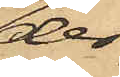der¬
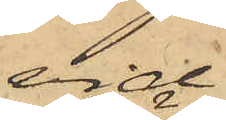vid
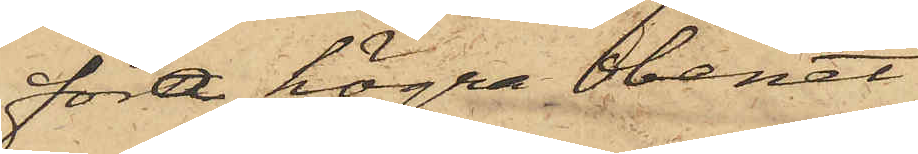föra högra benet
